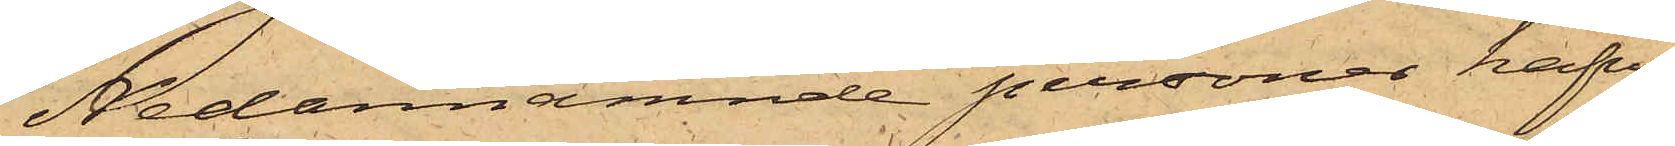Nedannämnde personer hafva
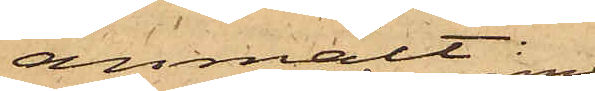anmält:
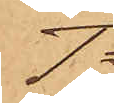1o
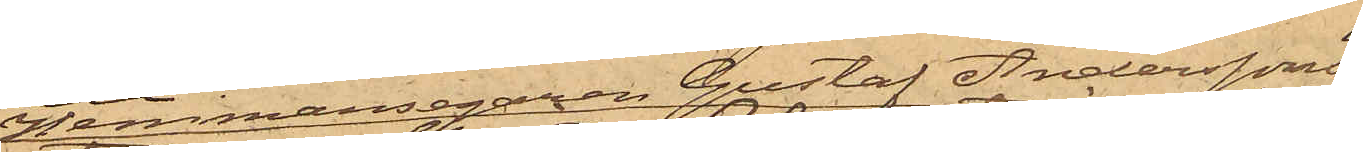Hemmansegaren Gustaf Anderssons
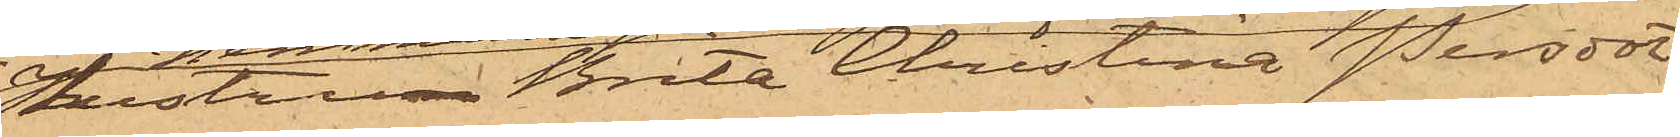hustru Brita Christina Persdot¬
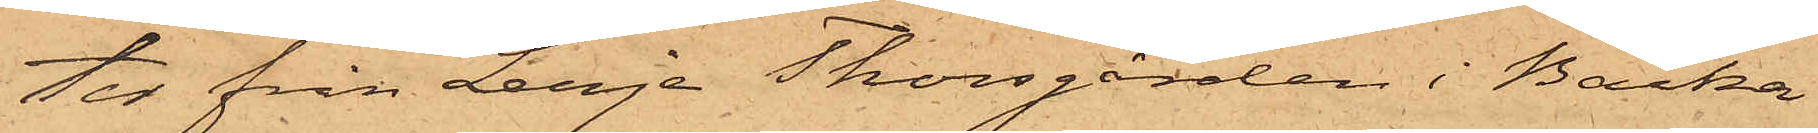ter från Lerje Thorsgården i Backa
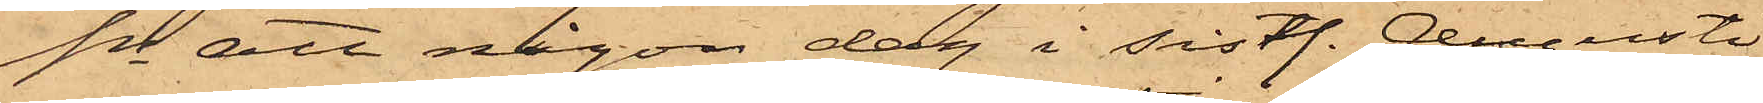Sn att någon dag i sistl. Augusti
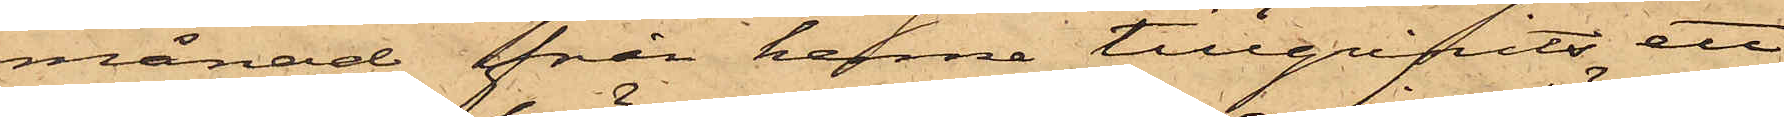månad från henne tillgripits ett
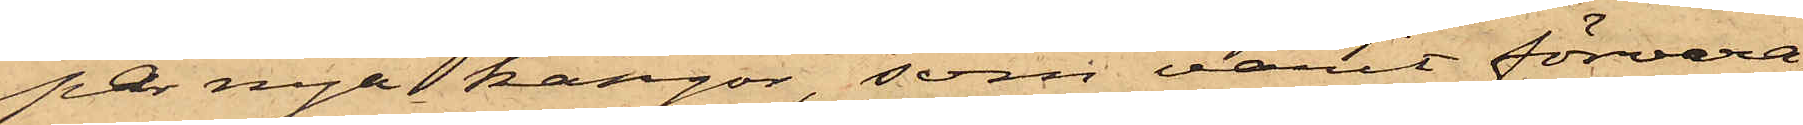par nya kängor, som varit förvara¬
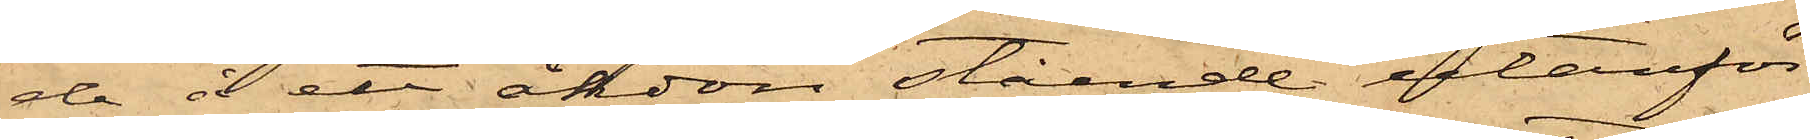de å ett åkdon stående utanför
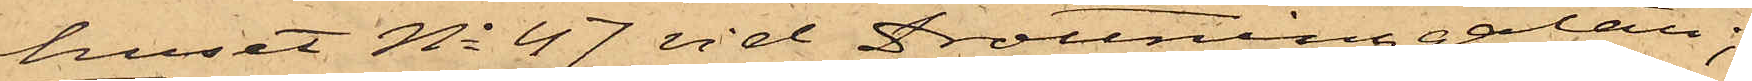huset No 47 vid Drottninggatan;
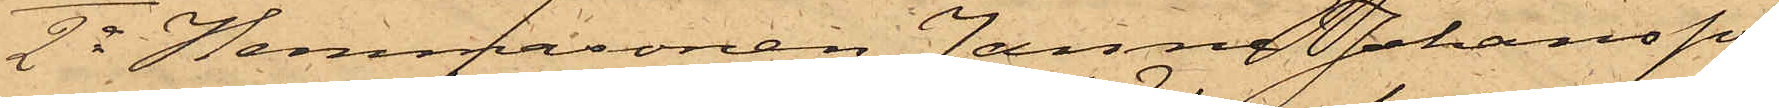2o Hemmasonen Janne Johansson
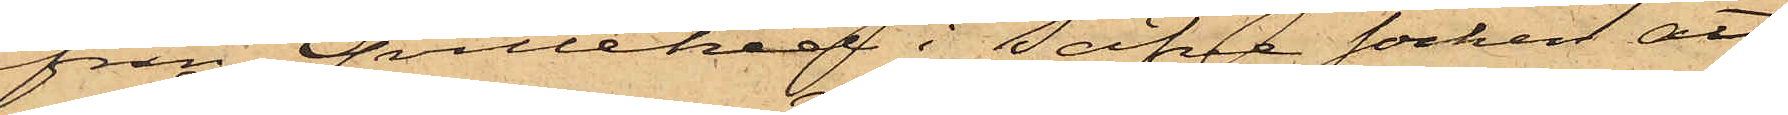från Qvillehed i Säfve socken att
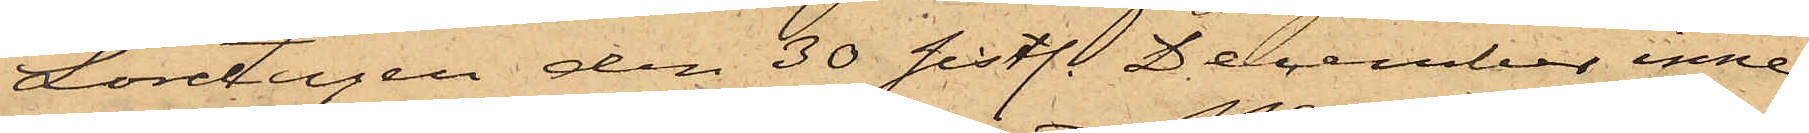Lördagen den 30 sistl. December inne
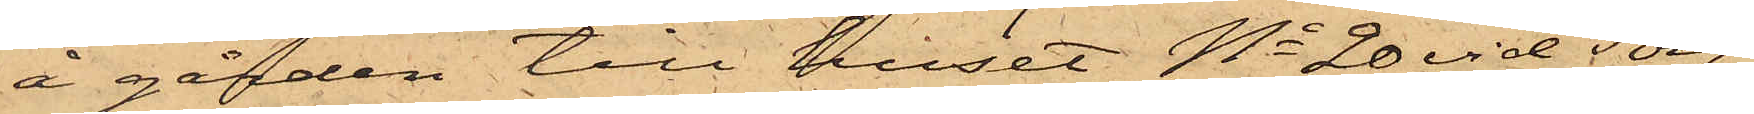å gården till huset No 20 vid Torg-
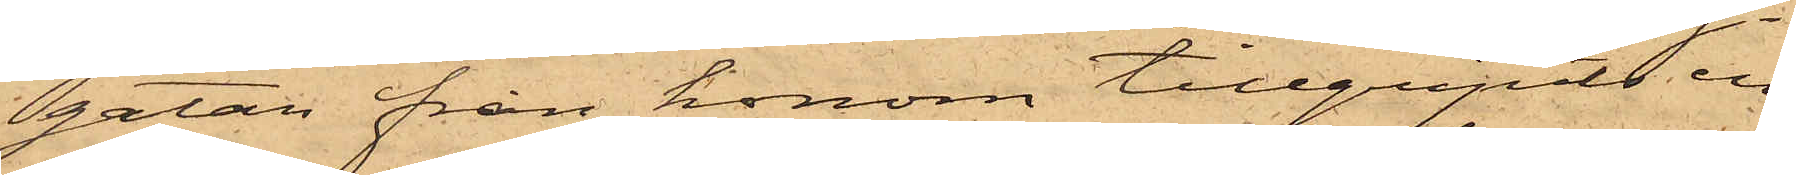gatan från honom tillgripits en
